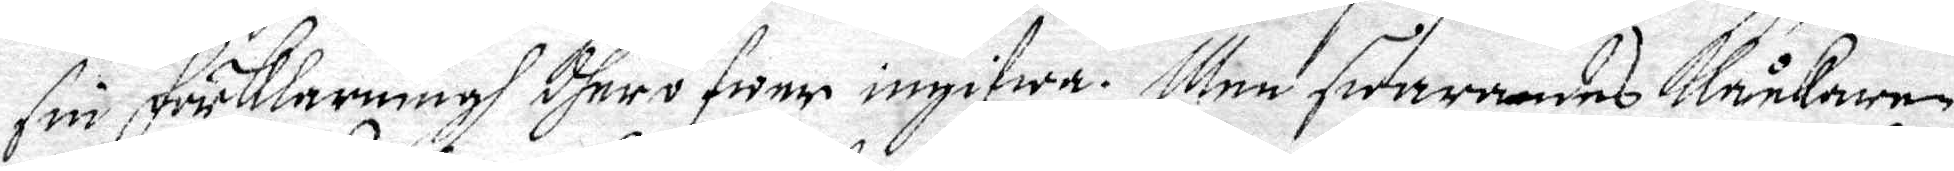sin förklarningh dheröfwer ingifwa. Men swarandes Klåckaren
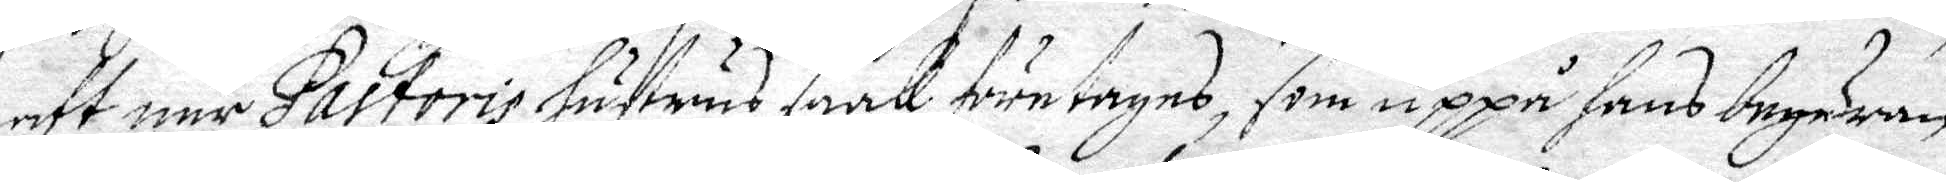att när Pastoris hustrus saak företages, som uppå hans begäran
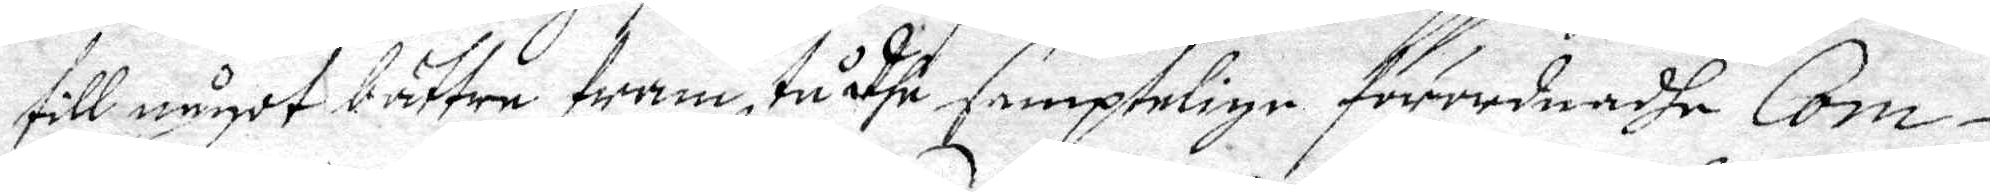till något bättre framstådhe samptelige förordnadhe Com¬
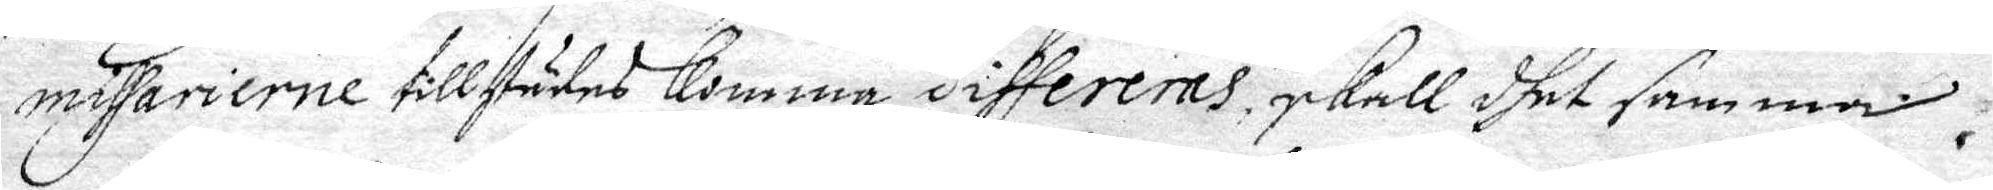missarierne tillstädes komma differerns, skall dhet samma
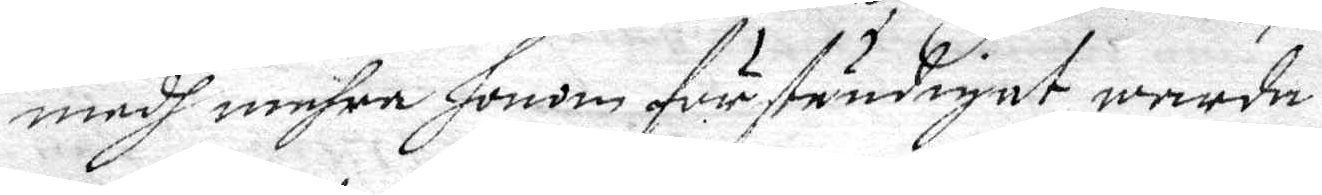medh mehra honom förständigat warda.
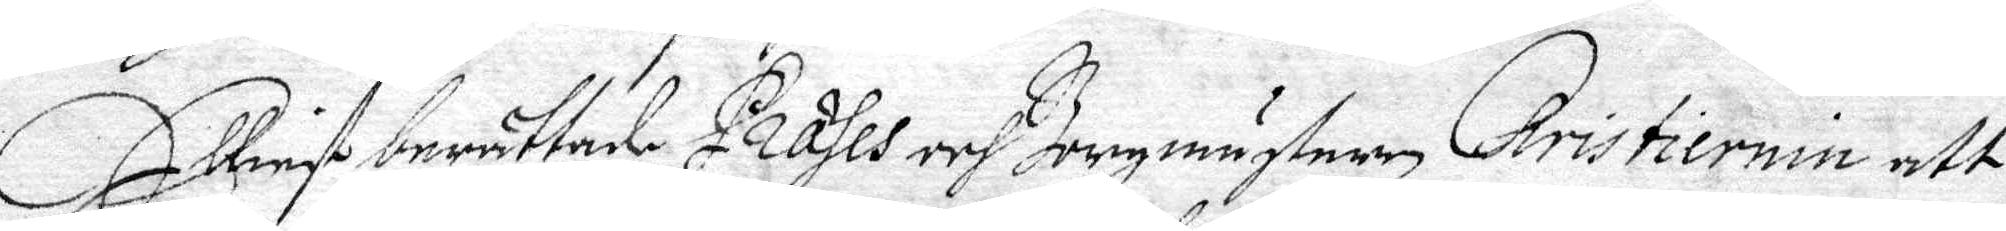Elliest berättade Præses och Bergmästeren Christiernin att
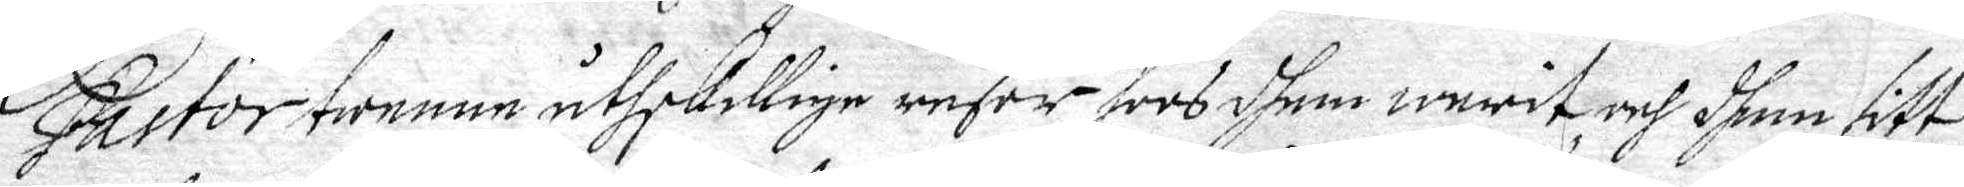Pastor twenne åthskillige resar hoos dhem warit och dhem sitt
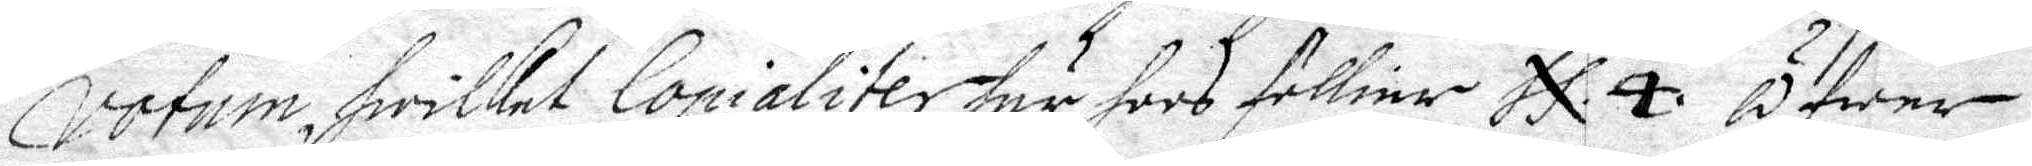Votum, hwilcket Copialiter här hoos follier N.8 Öfwer
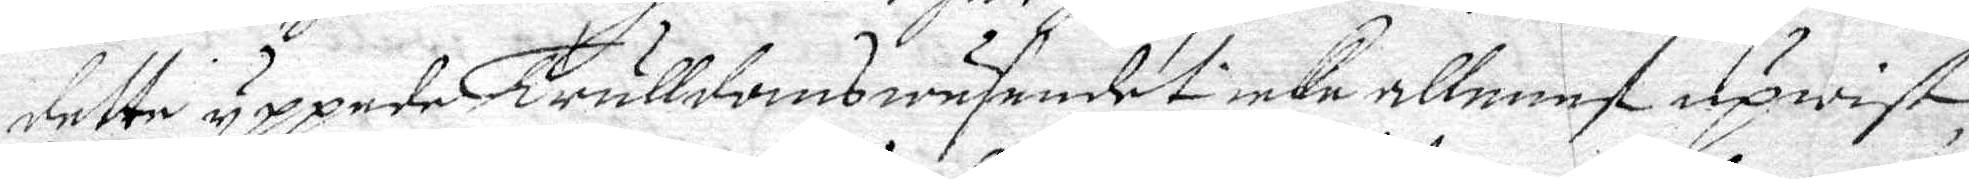dette yppede Trulldoms wäsendet icke allenest upwist
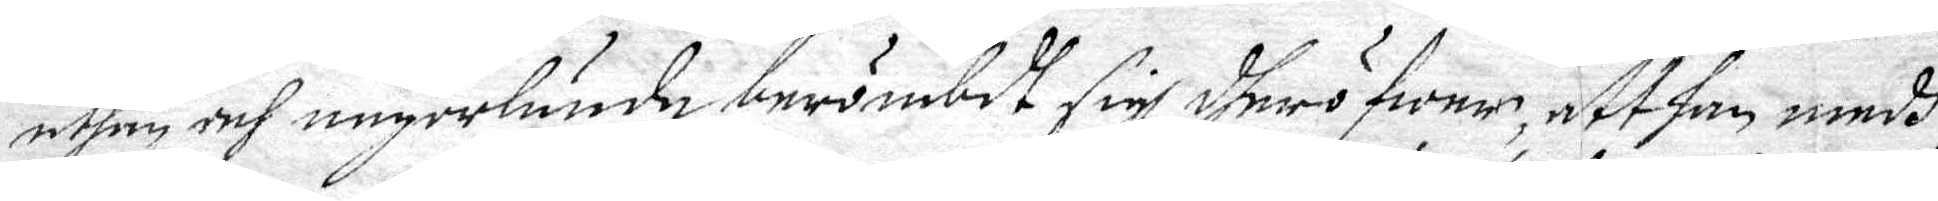uthan och någorlunda berömbdt sigh dheröfwer, att han medh
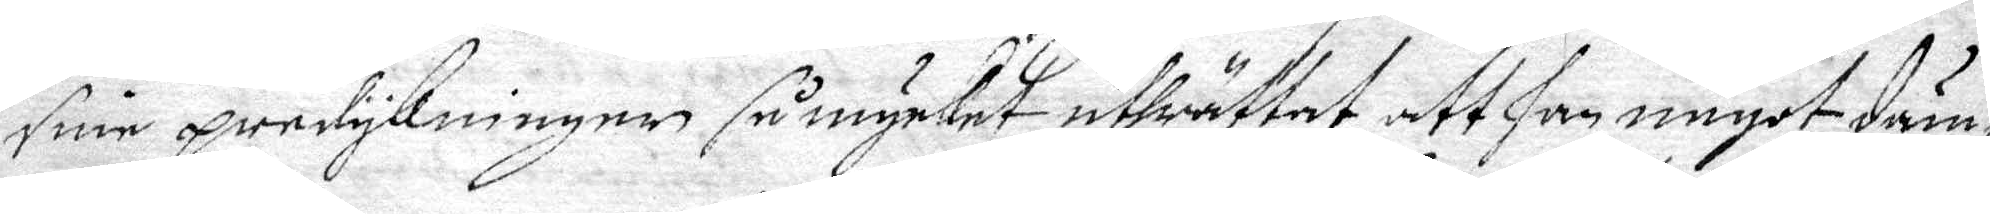sine predykninger så mycket uthrättat att han något däm¬
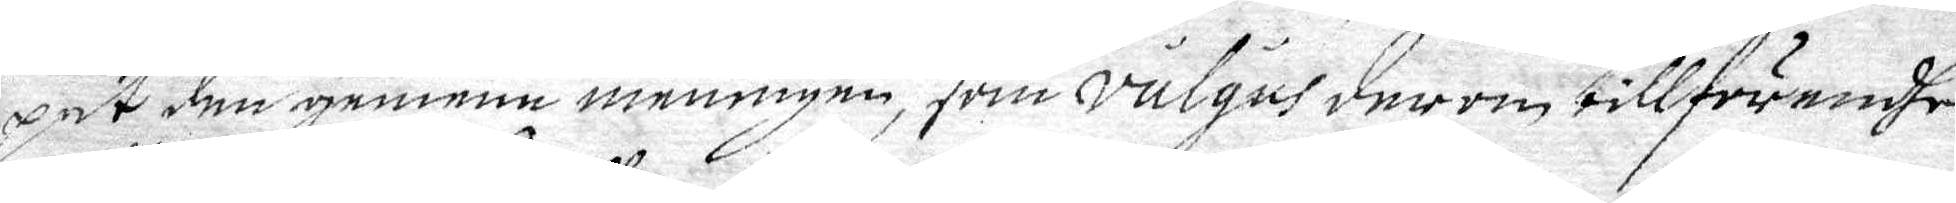pet den gemena meningen, som Vulgus derom tillförendhe
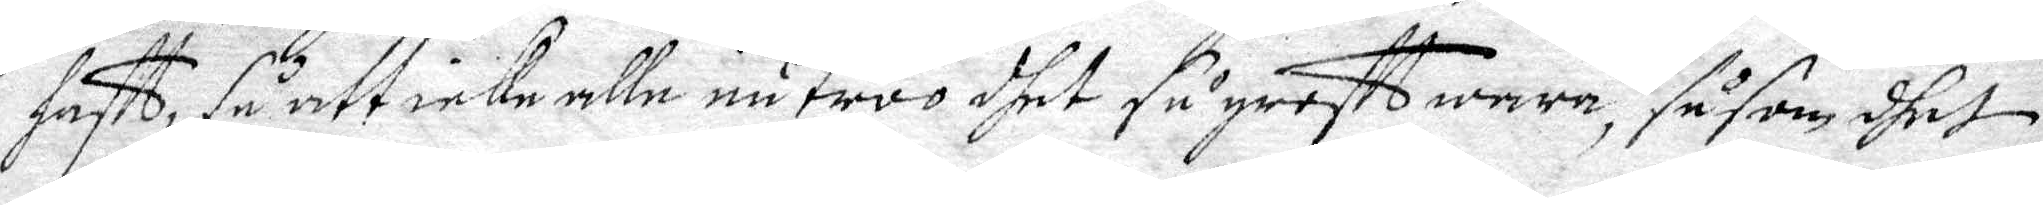hafft, så att icke alle nu troo dhet så grofft wara, så som dhet
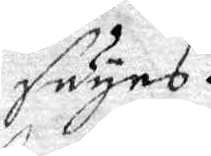säyes.
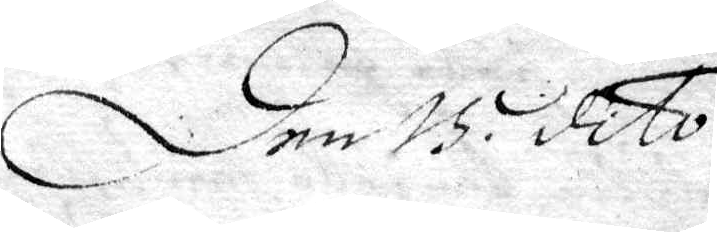Den 115. dito.
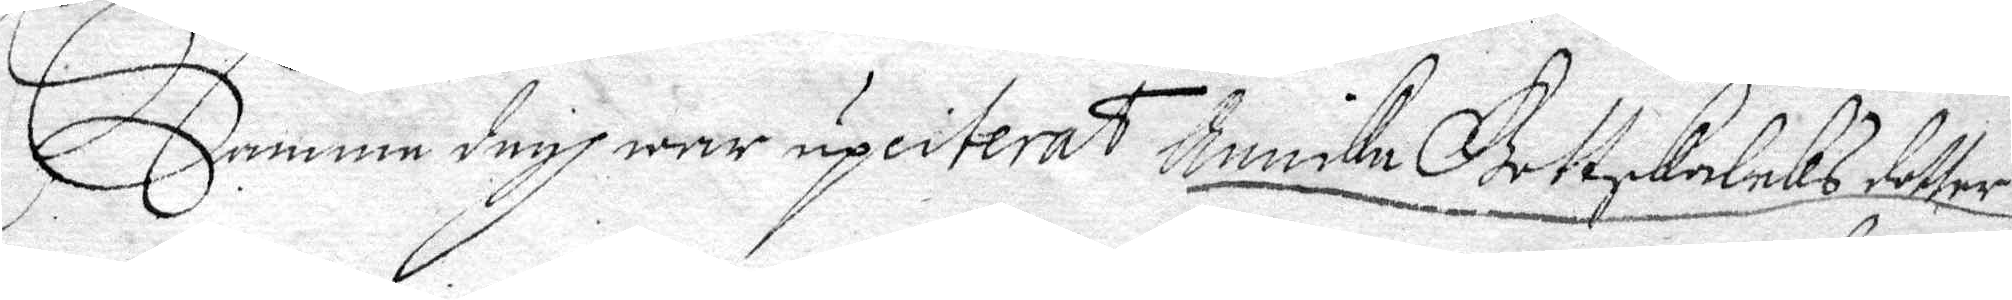Samme dagh wer upciterat Annika Gottskaleks dotter
